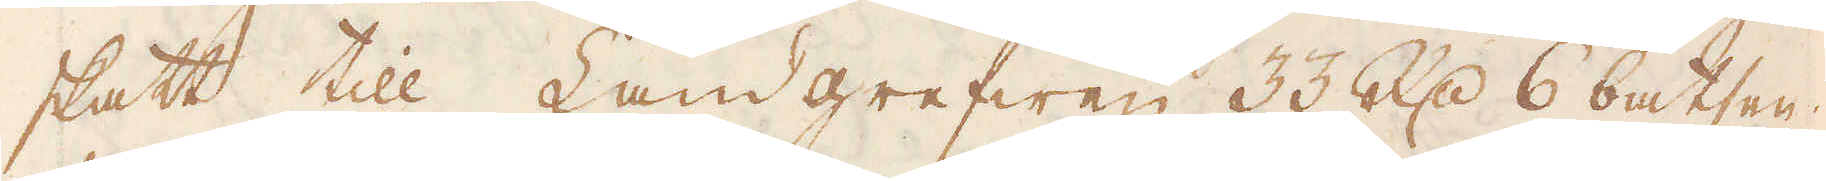skatt till Landgrefwen 33 R:dr 6 batsen;
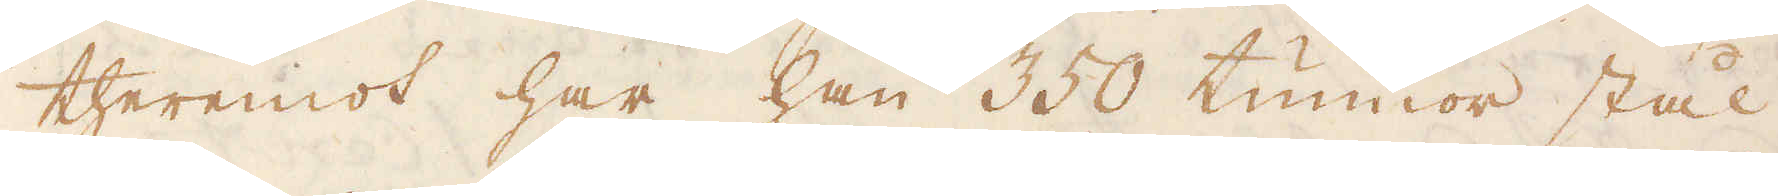theremot har han 350 tunnor stål
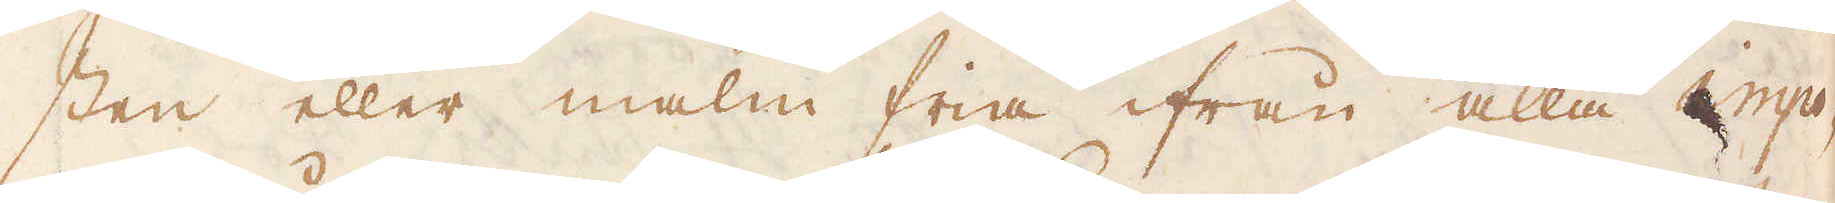sten eller malm fria ifrån alla impo-
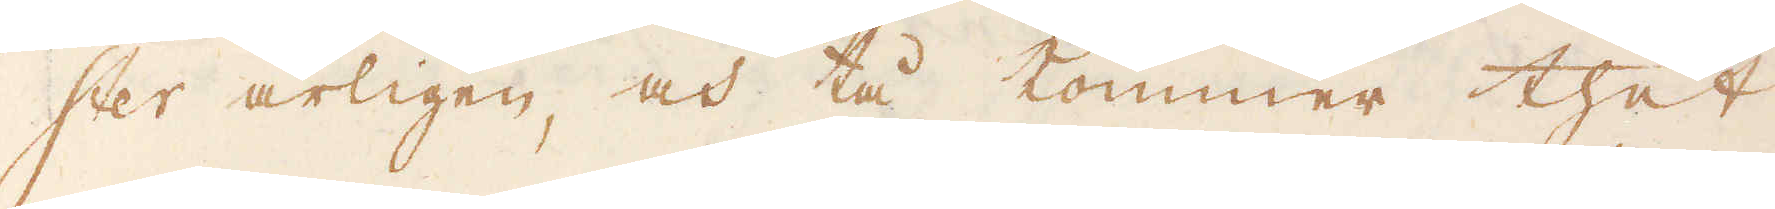ster årligen och tå kommer thet
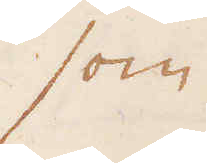som
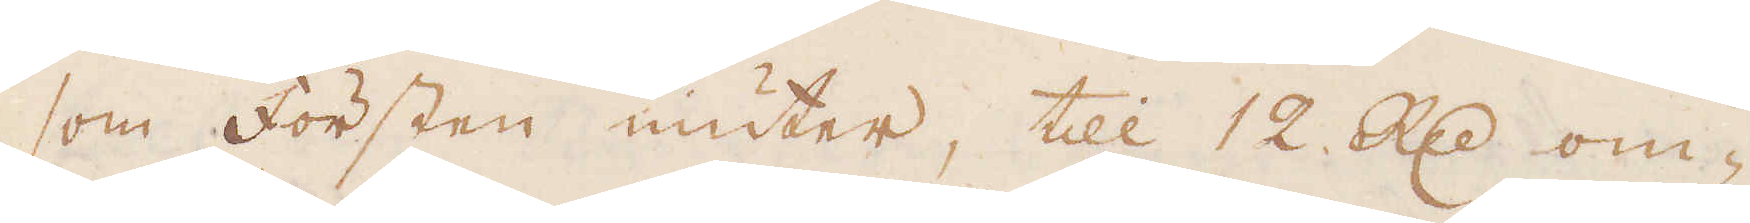som försten niuter, till 12 R:d om-
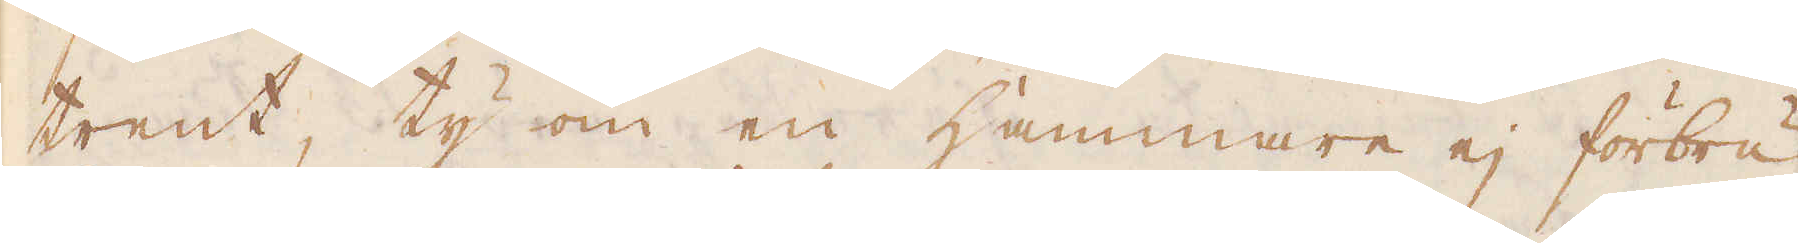trent, ty om en Hammare ej förbru-
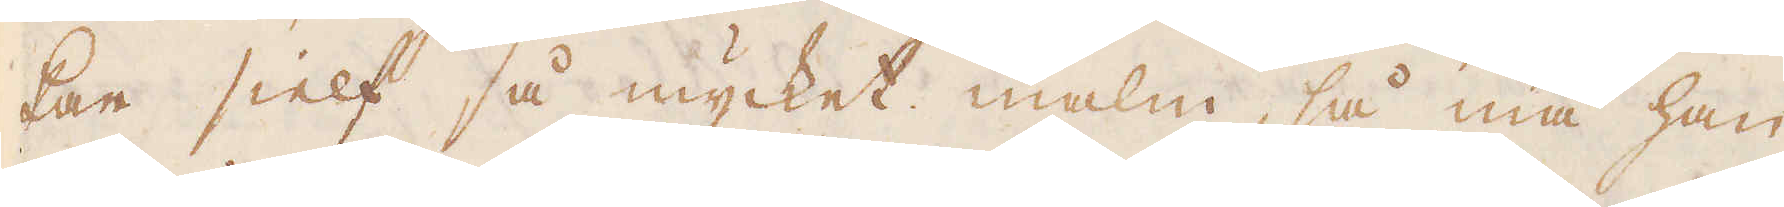kar sielf så mycket malm, så må han
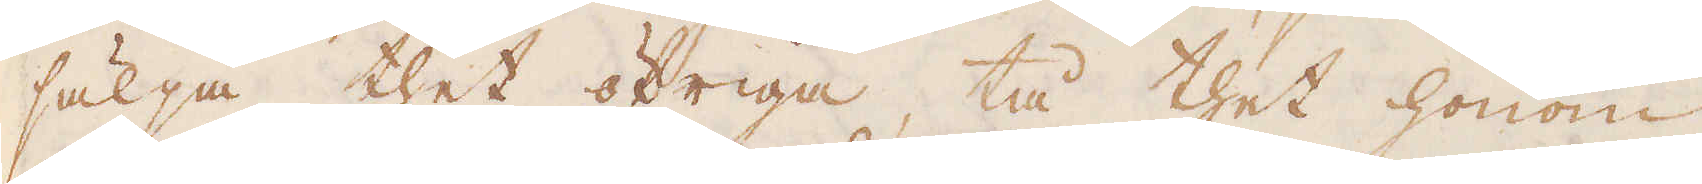sälja thet öfriga, tå thet honom
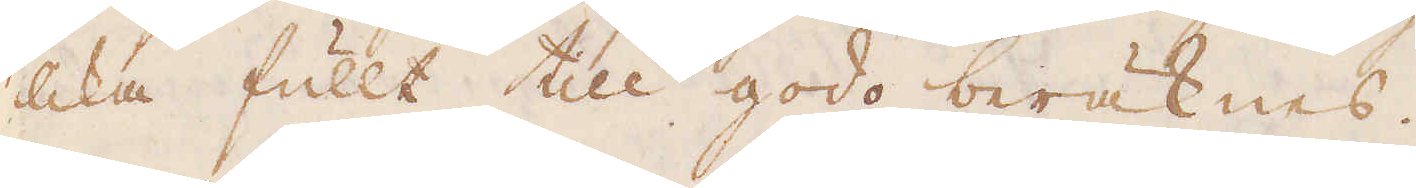lika fullt till godo beräknas.
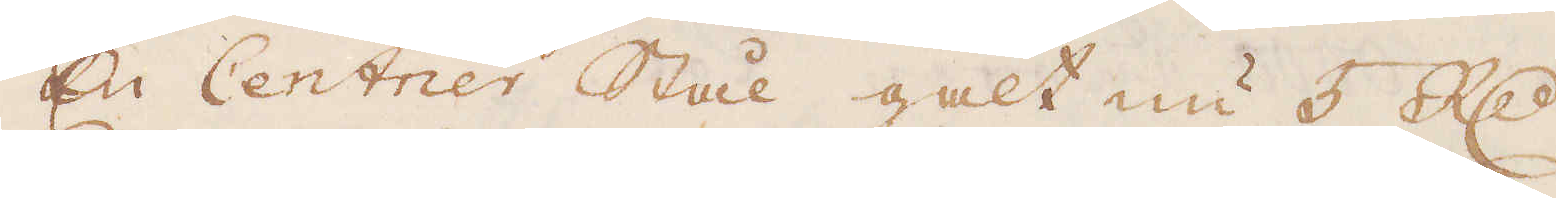En Centrier Stål galt nu 5 R:dr
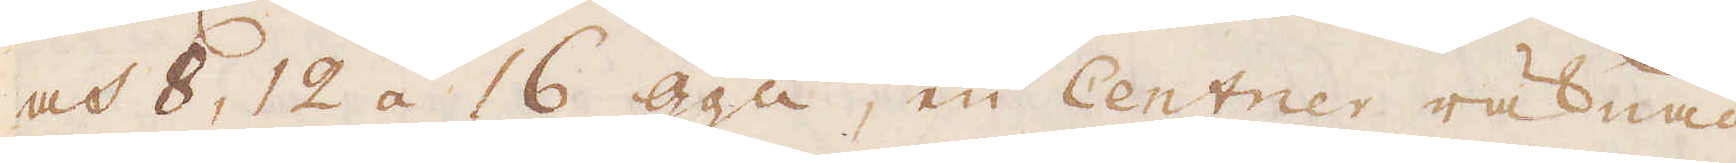och 8, 12 á 16 gga, en Centrer räknad
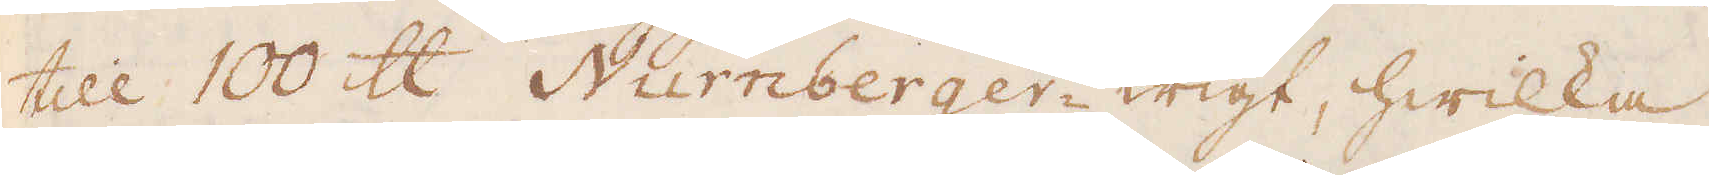till 100 skålpund Nurnberger-wigt, hwilka
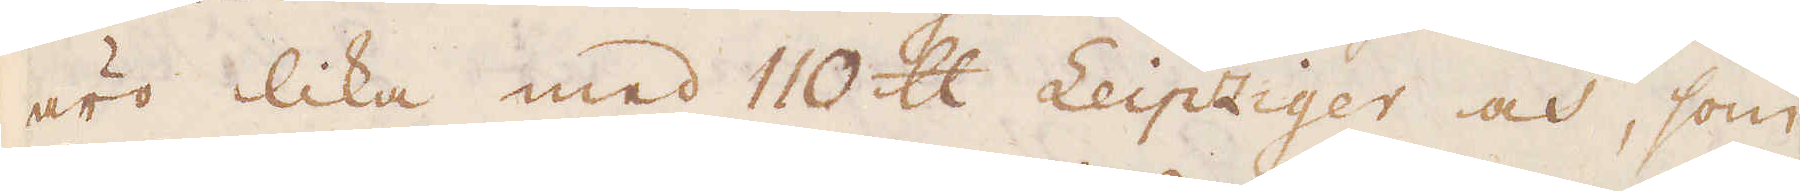äro lika med 1100 skålpund Leipziger och, som
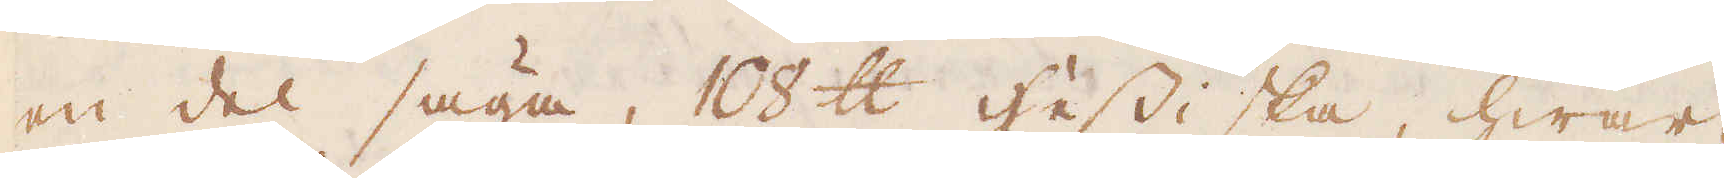en del säga, 18 skålpund hessiska, hwar
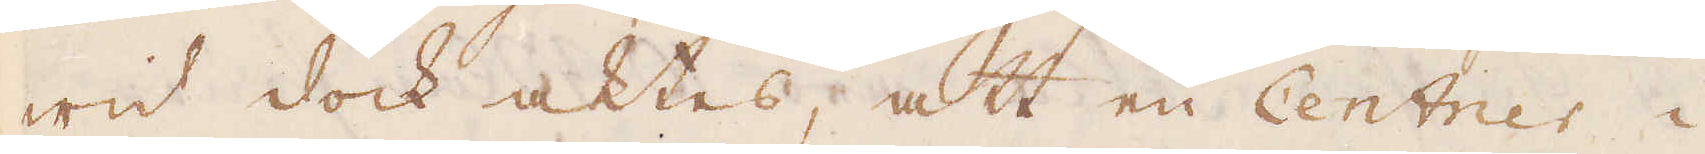wid dock aktes, att en Centner i
